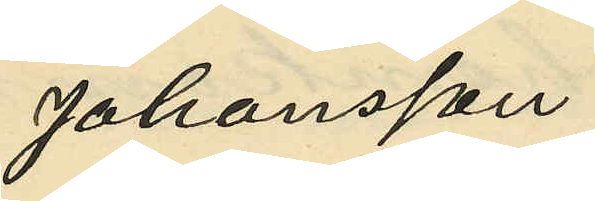Johansson
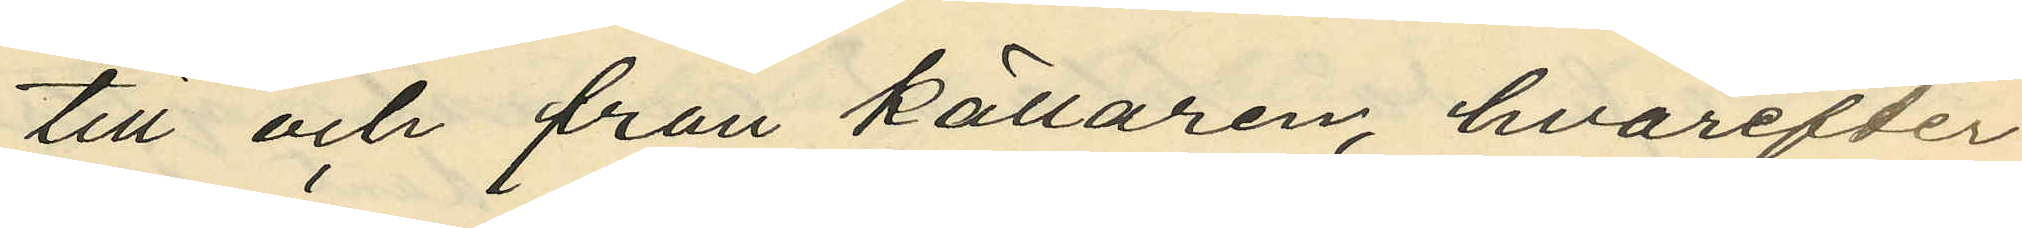till och från källaren, hvarefter
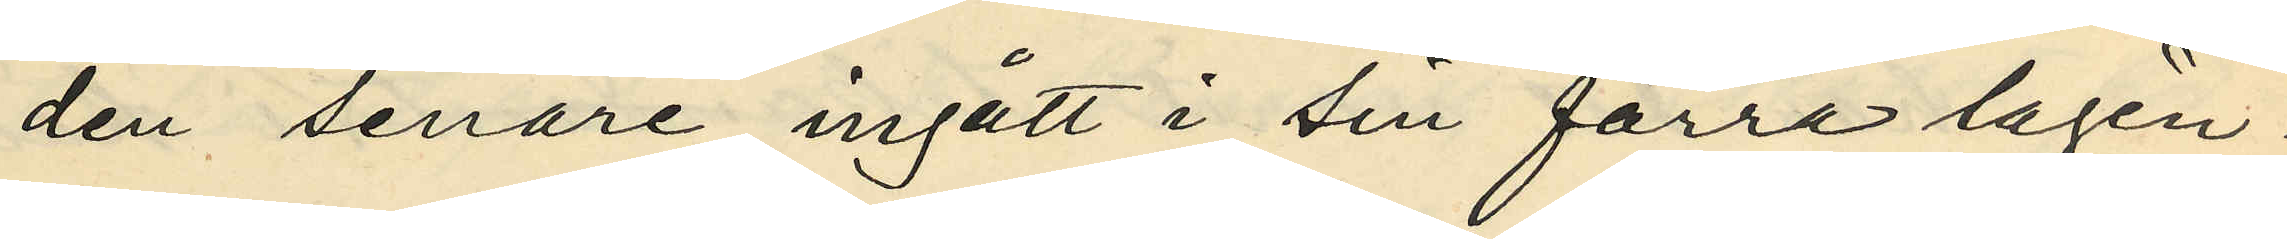den senare ingått i sin förra lägen¬
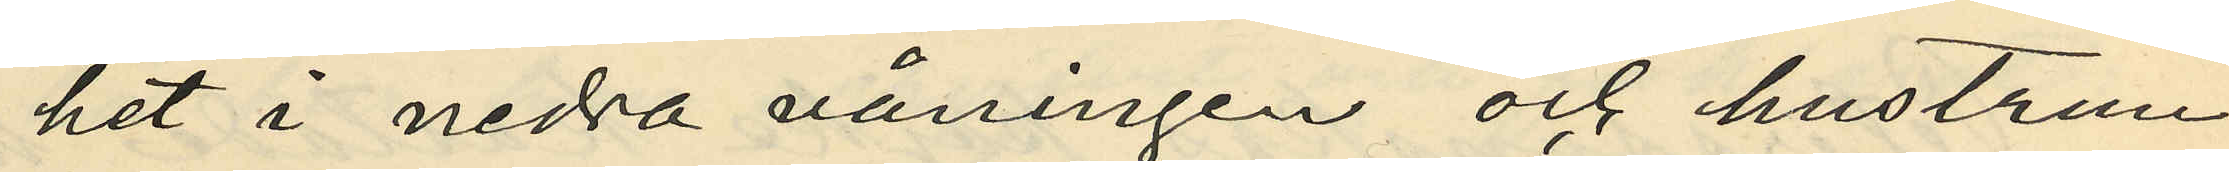het i nedra våningen och hustrun
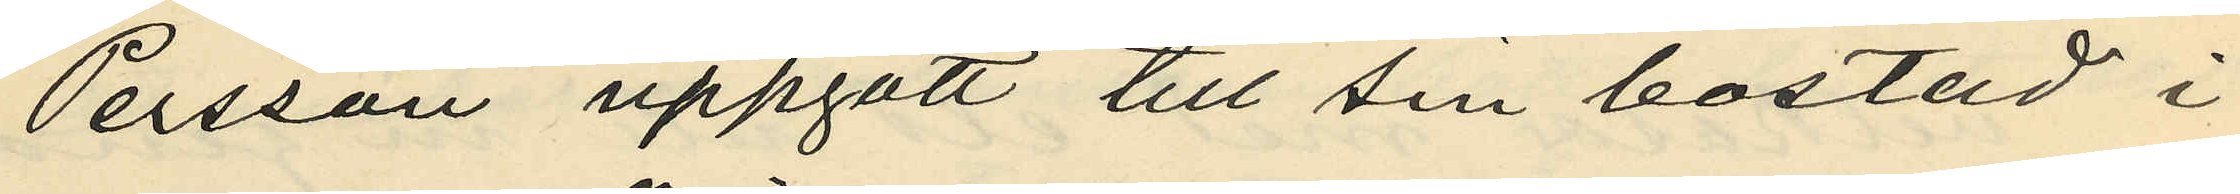Persson uppgått till sin bostad i
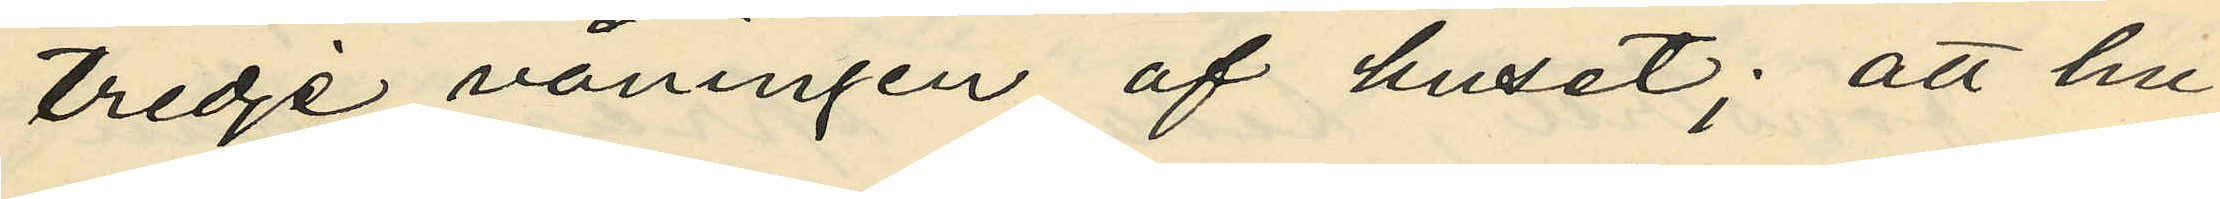tredje våningen af huset; att hu¬
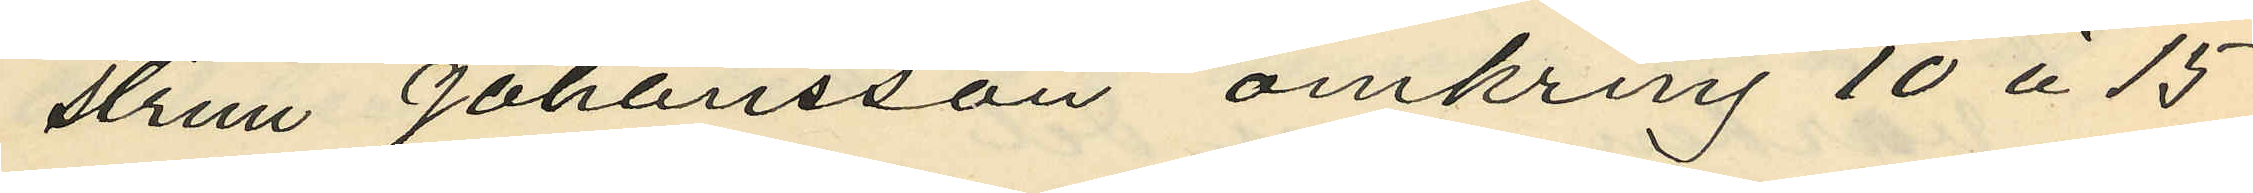strun Johansson omkring 10 à 15
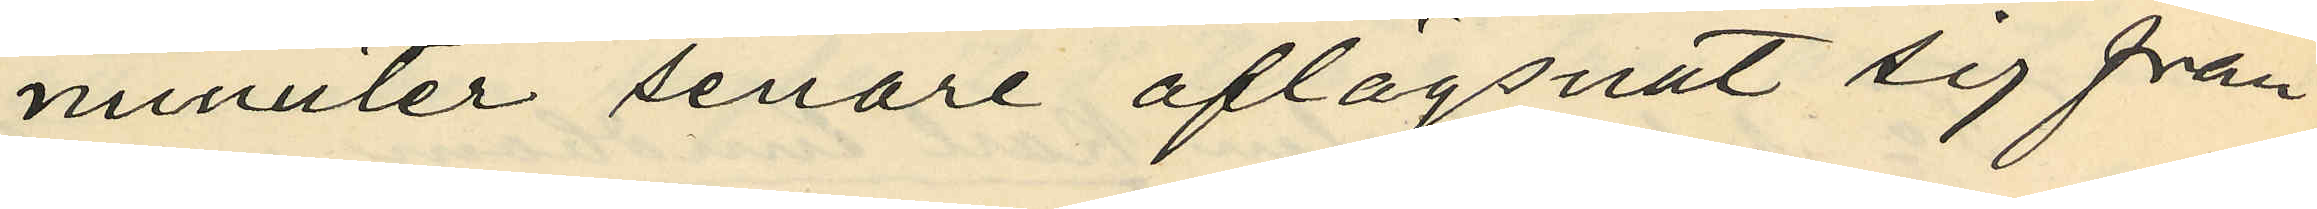minuter senare aflägsnat sig från
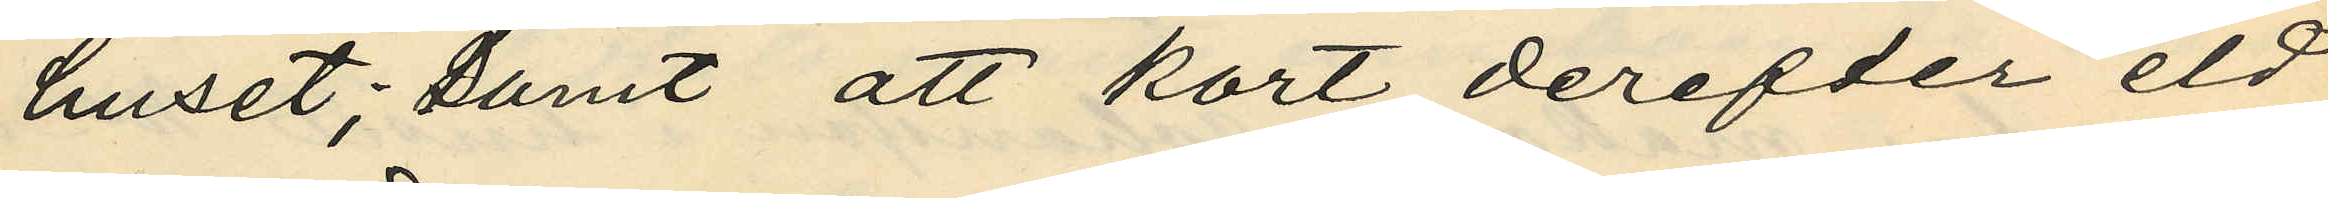huset; samt att kort derefter eld
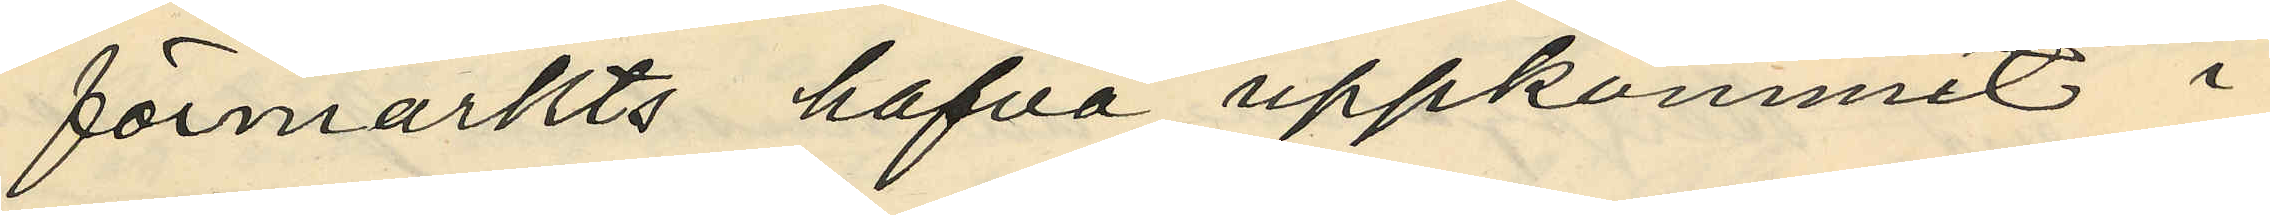förmärkts hafva uppkommit i
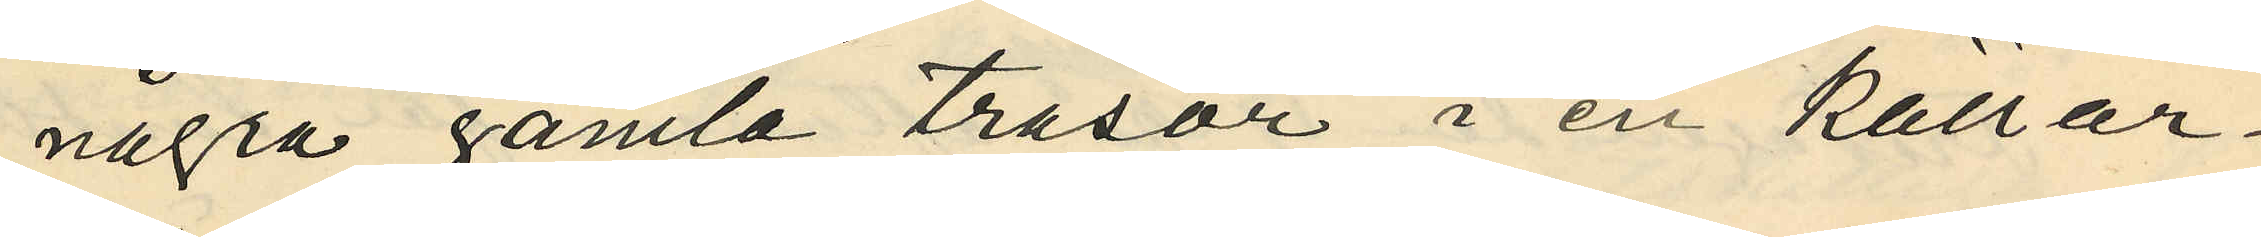några gamla trasor i en källar¬
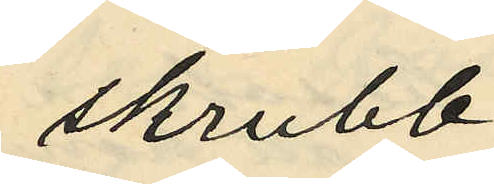skrubb;
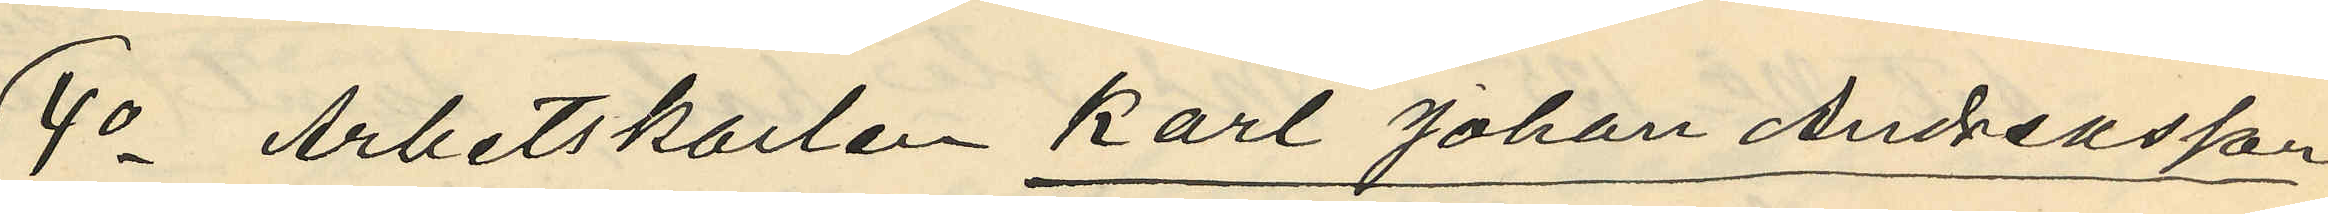4o Arbetskarlen Karl Johan Andreasson
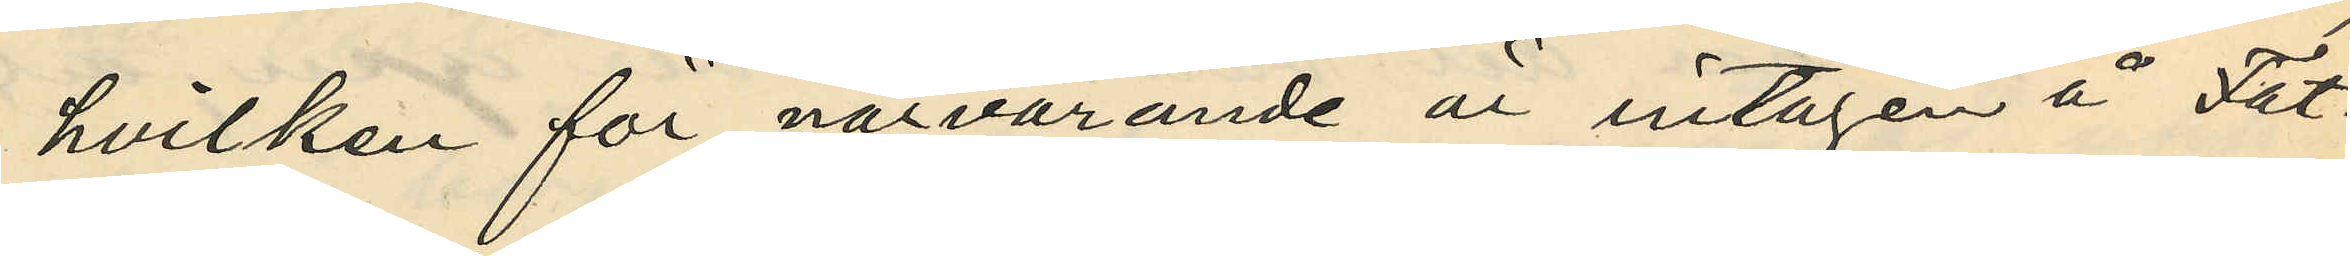hvilken för nävarande är intagen å Fat¬
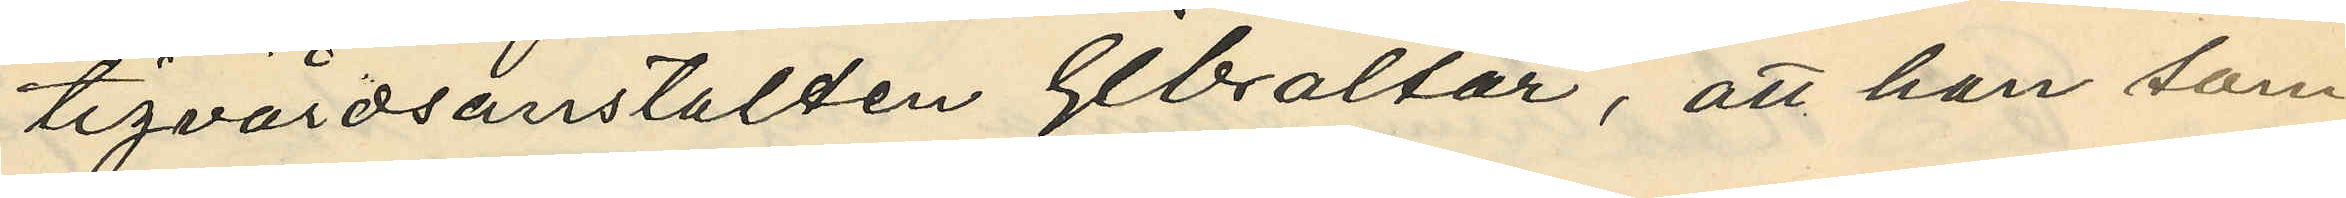tigvårdsanstalten Gibraltar, att han som
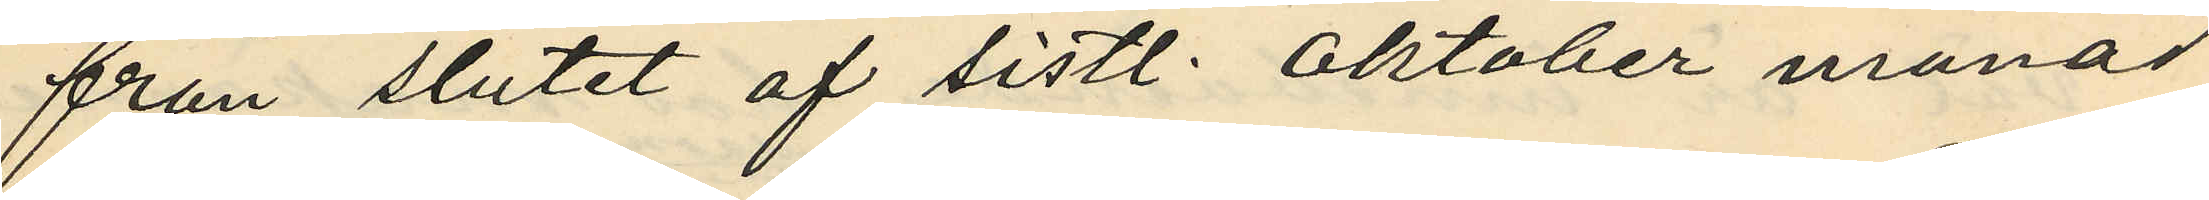från slutet af sistl. Oktober månad
